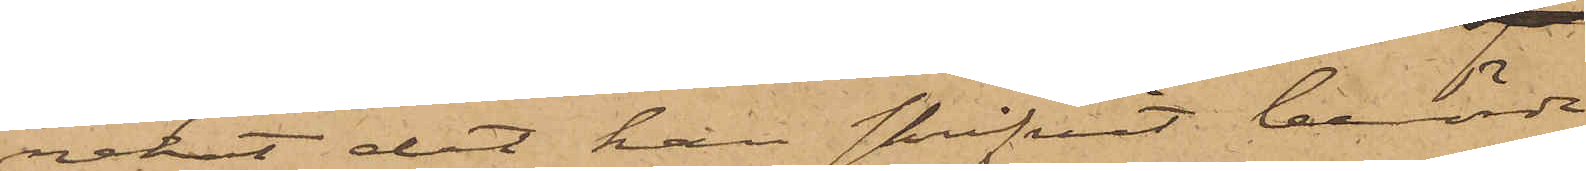nekat det han skrifvit berörde
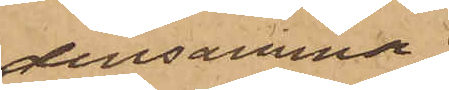densamma;
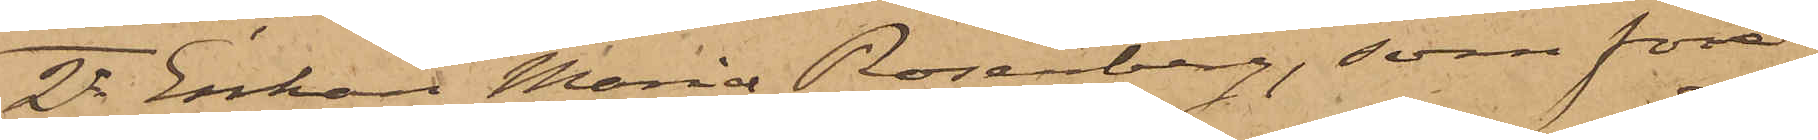2o Enkan Maria Rosenberg, som före¬
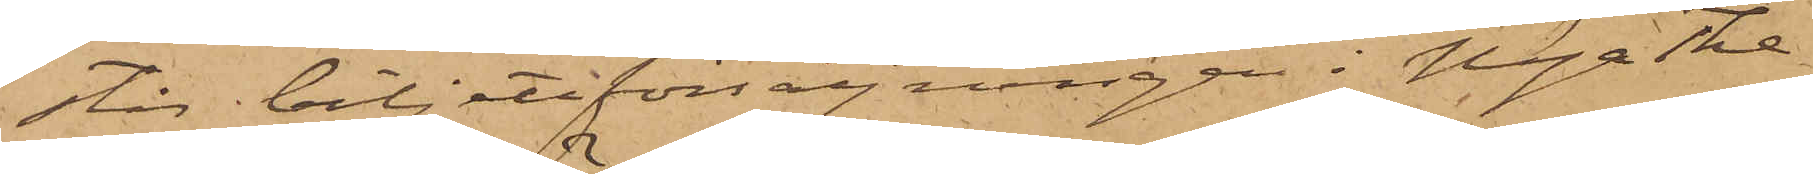står biljettförsäljningen i Nya The¬
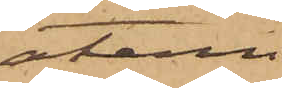atern
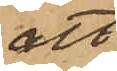att
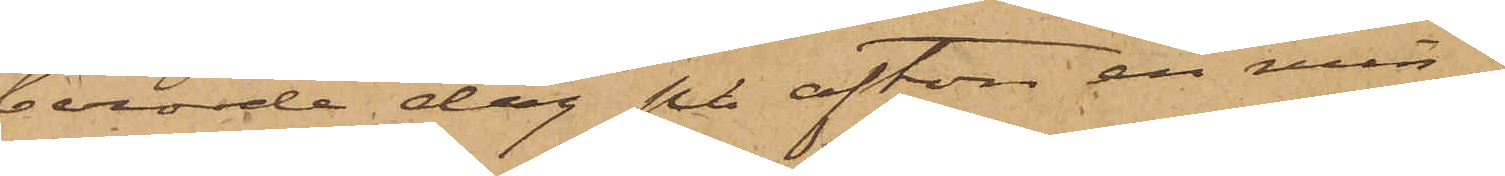berörde dag på afton en min¬
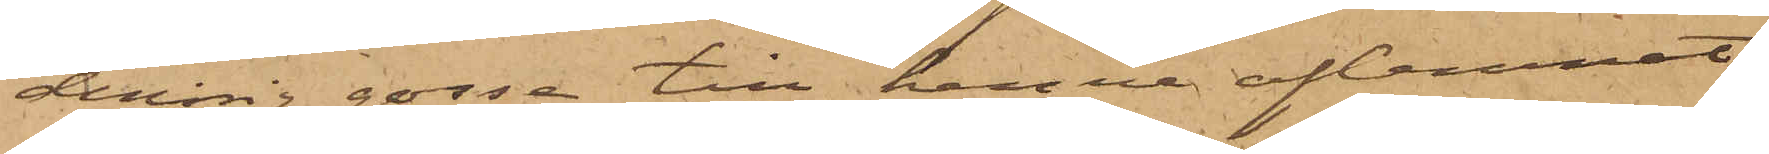derårig gosse till henne aflemnat
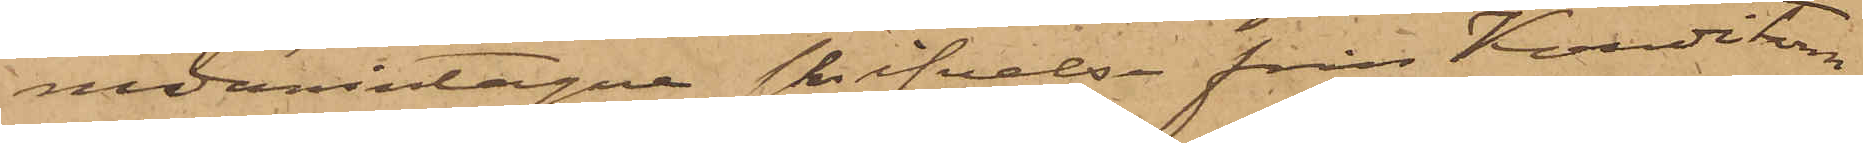nedanintagne skrifvelse från Konditorn
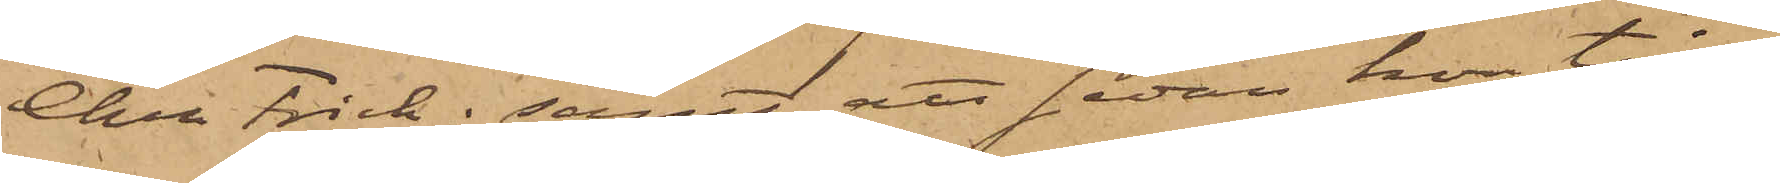Chr. Frick; samt att sedan hon till
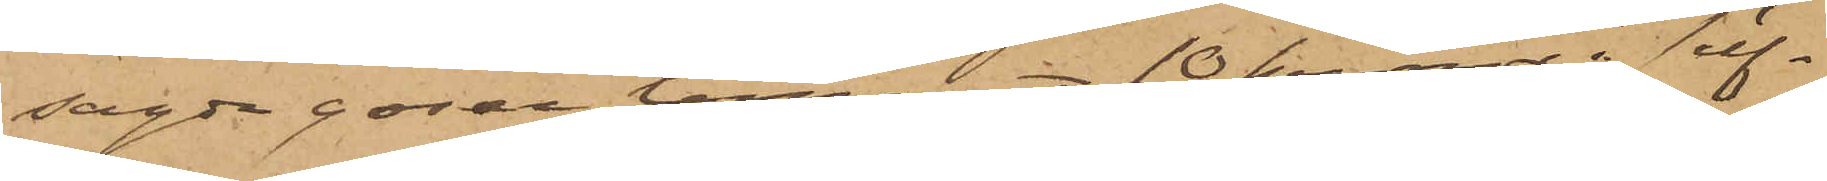sagde gosse lemnat 10 kronor i silf¬
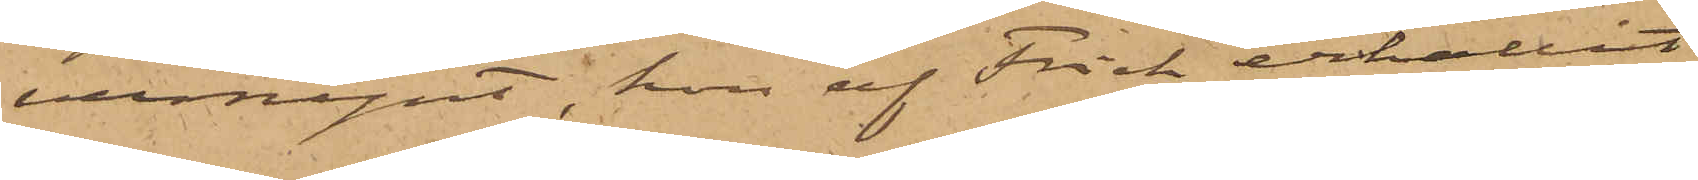vermynt, hon af Frick erhållit
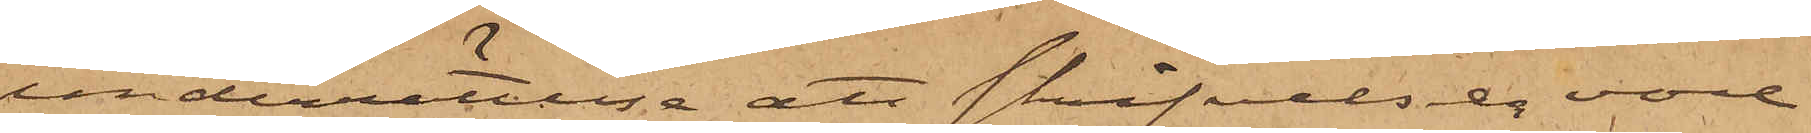underrättelse att skrifvelsen vore
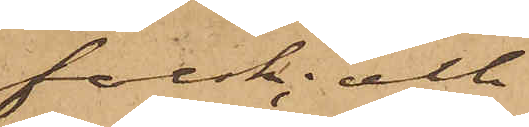falsk; och
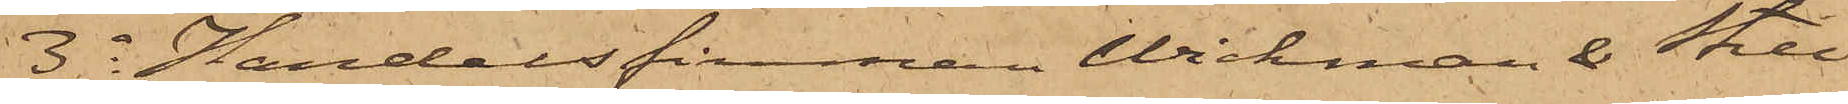3o Handelsfirman Wickman & Still¬
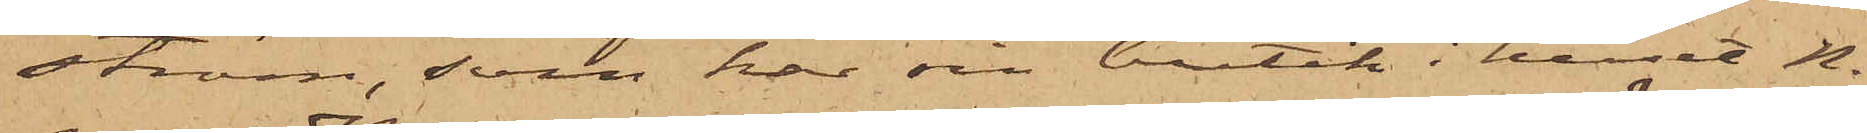ström, som har sin butik i huset No
